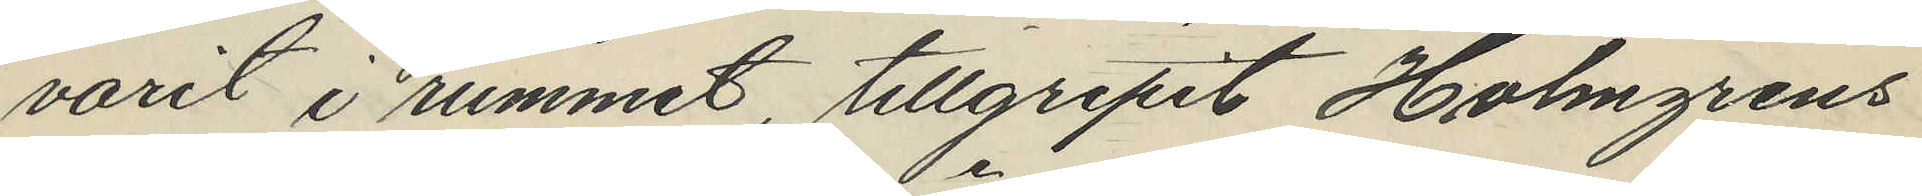varit i rummet, tillgripit Holmgrens
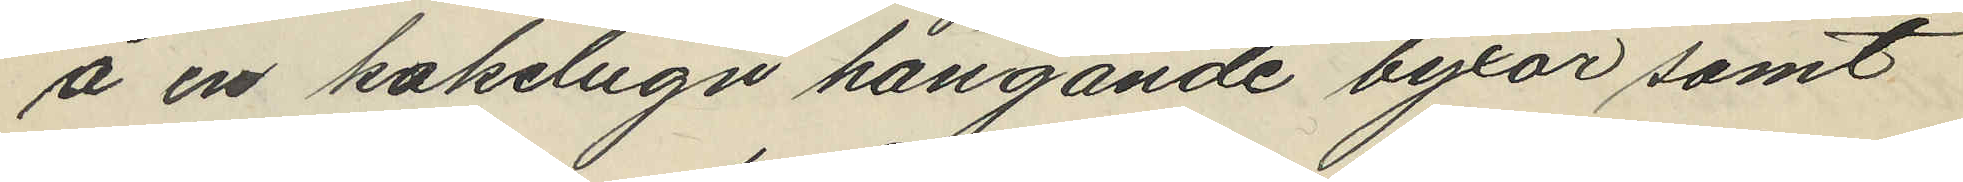å en kakelugn hängande byxor samt
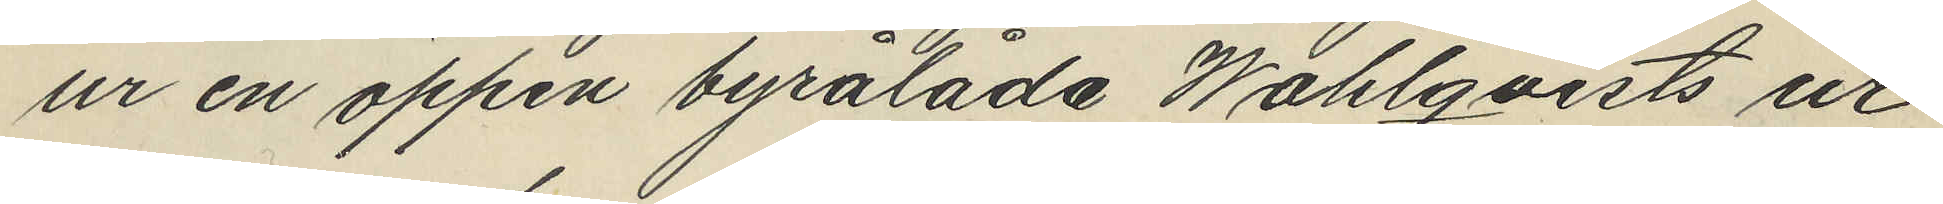ur en öppen byrålåda Wahlqvists ur
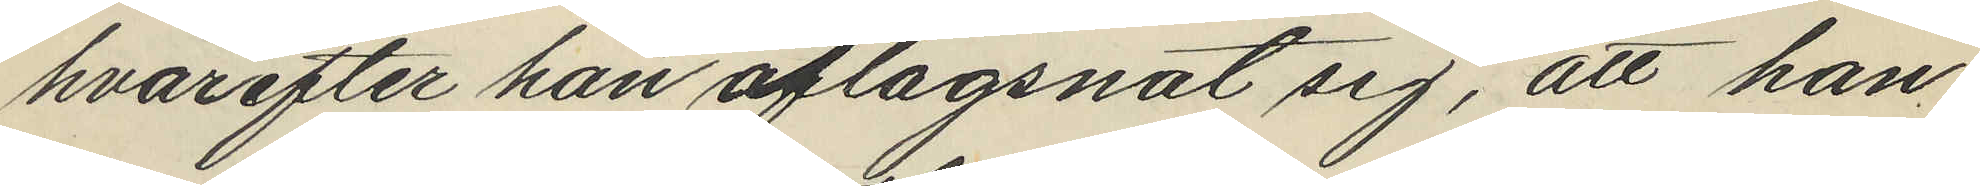hvarefter han aflägsnat sig, att han
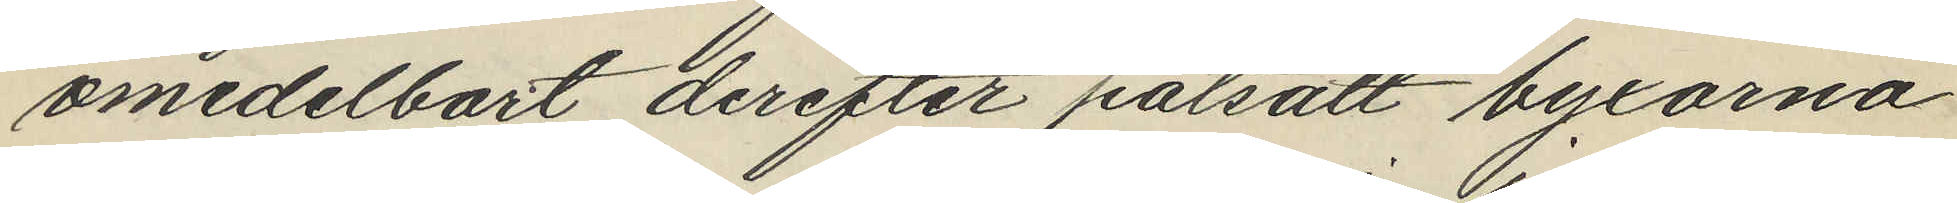omedelbart derefter patsatt byxorna
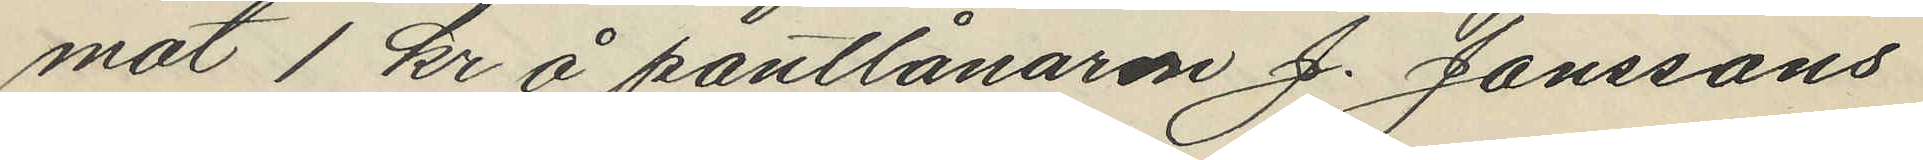mot 1 kr å pantlånaren J. Jonssons
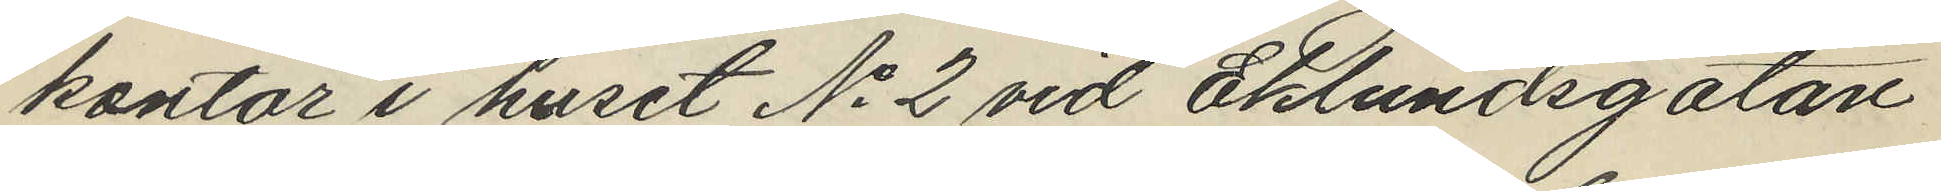kontor i huset No 2 vid Eklundsgatan
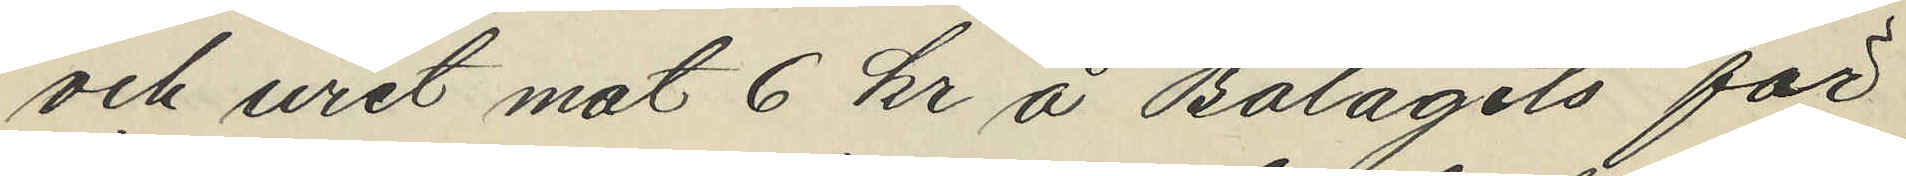och uret mot 6 kr å Bolagets för
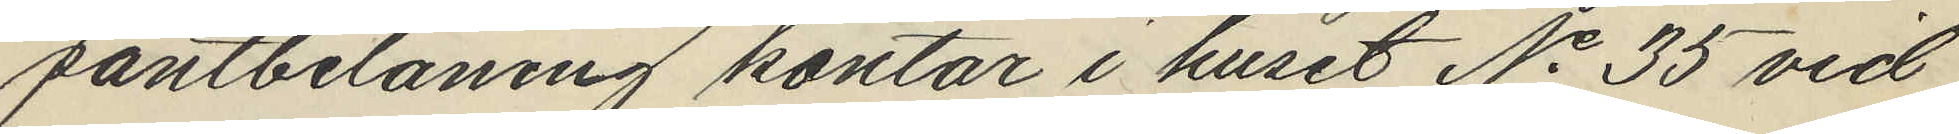pantbelåning kontor i huset No 35 vid
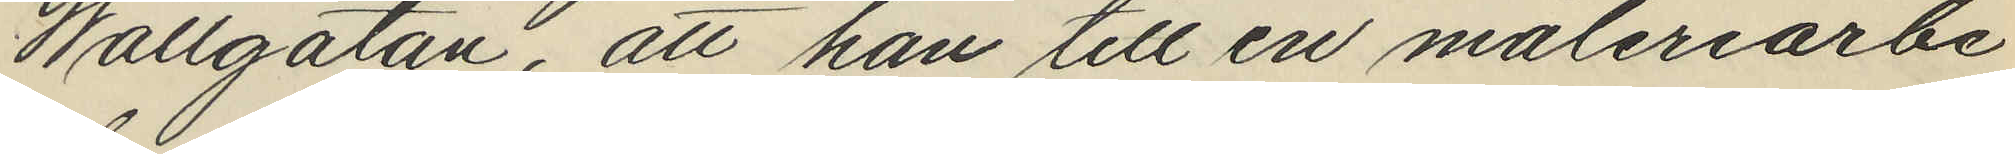Wallgatan, att han till en måleriarbe¬
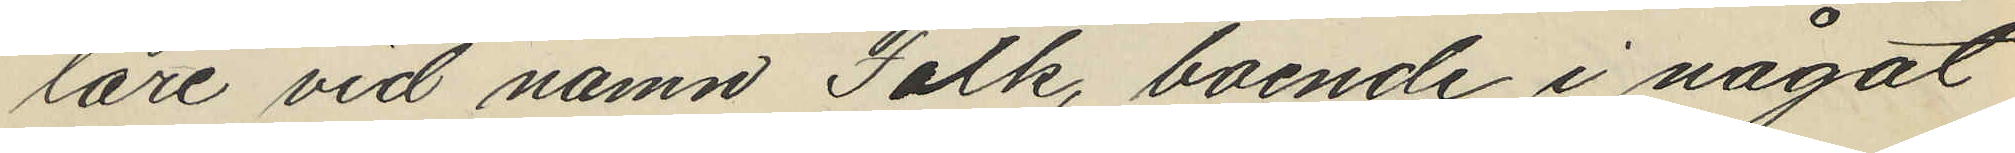lare vid namn Falk, boende i något
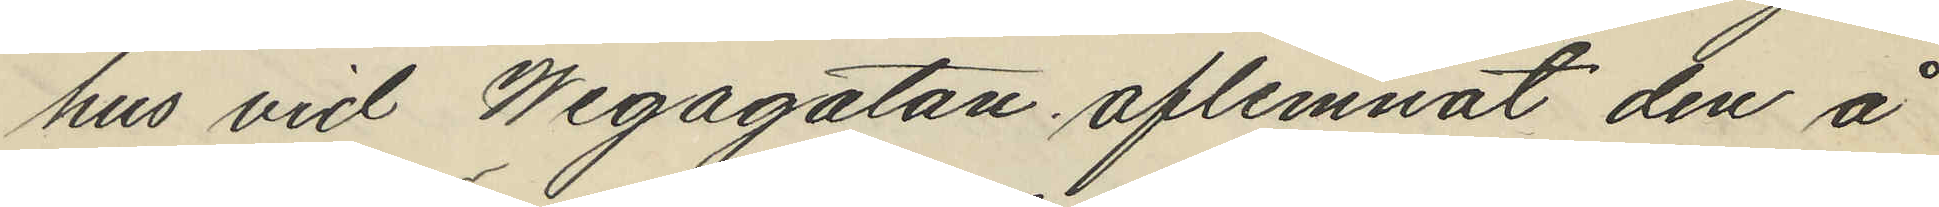hus vid Wegagatan, aflemnat den å
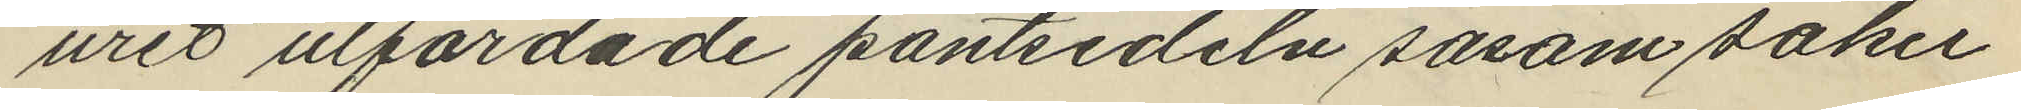uret utfärdade pantsedeln såsom säker
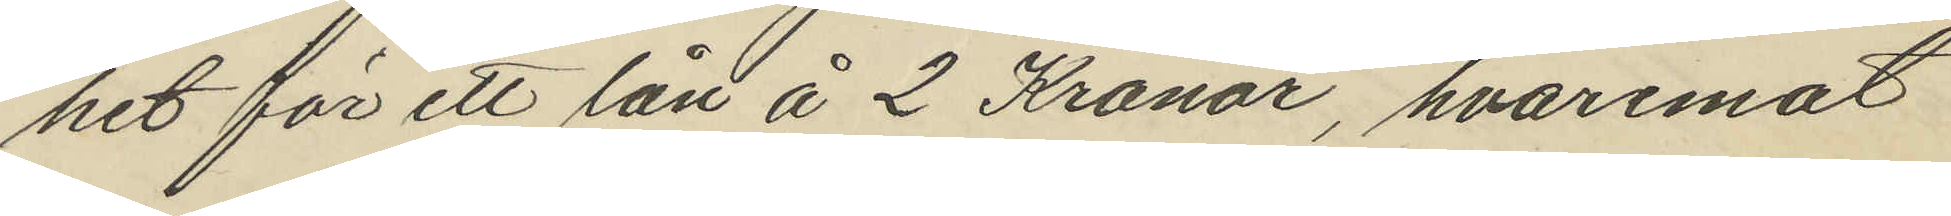het för ett lån å 2 Kronor, hvaremot
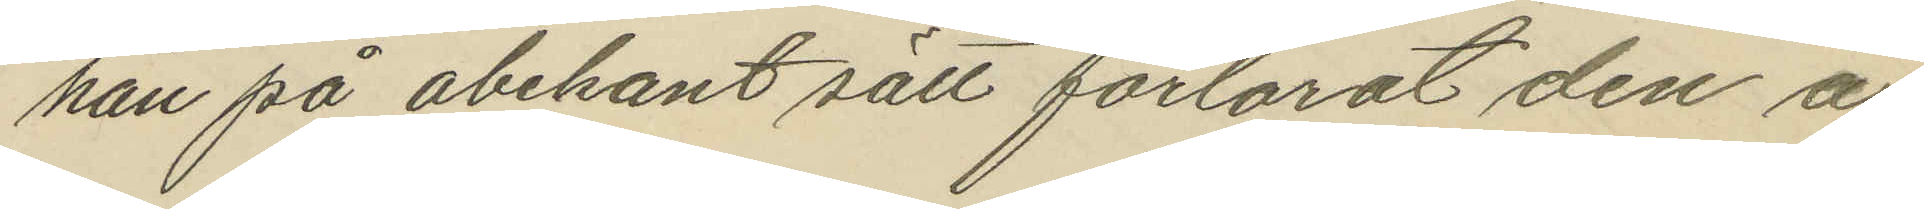han på obekant sätt förlorat den å
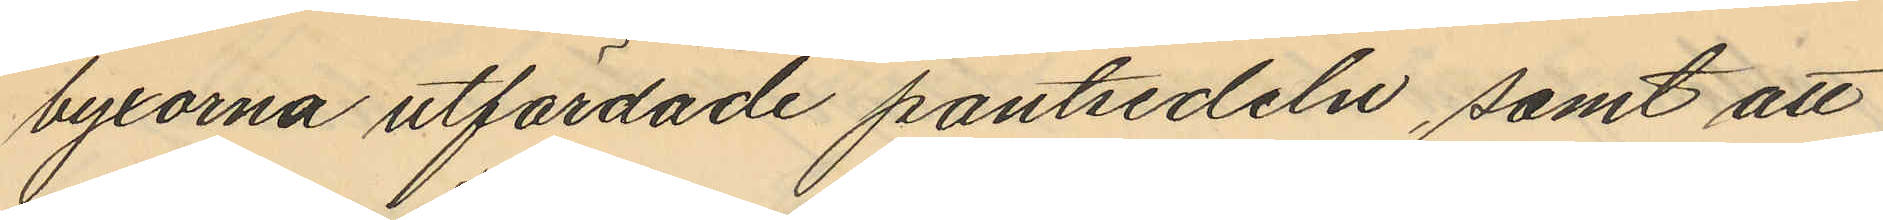byxorna utfärdade pantsedeln, samt att
